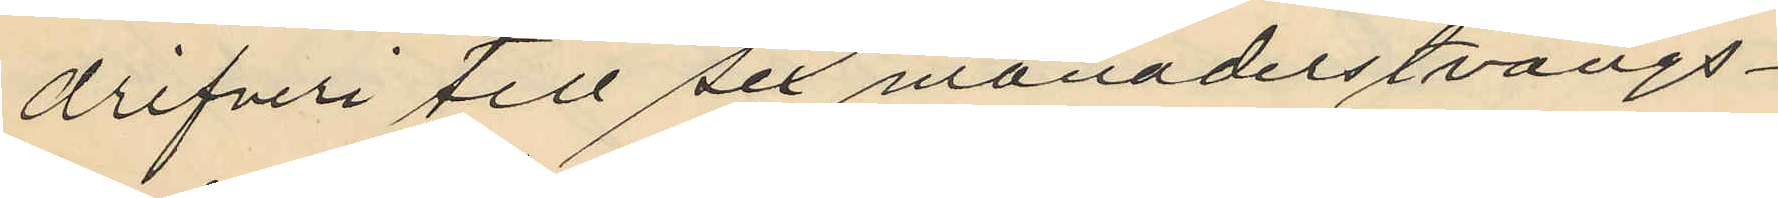drifveri till sex månaders tvångs¬
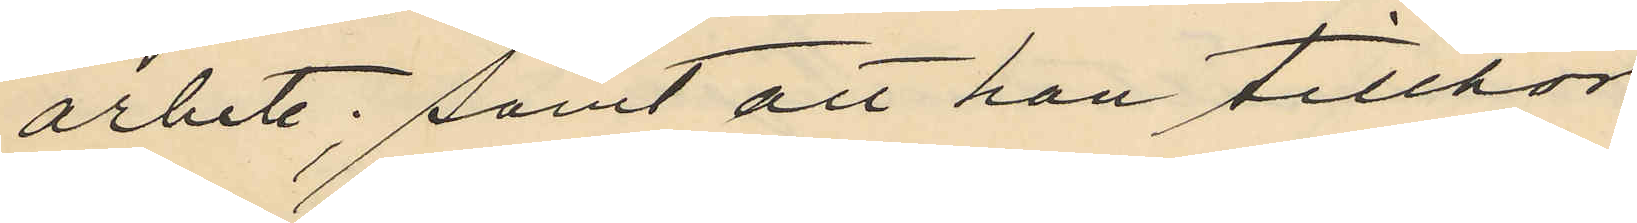arbete; samt att han tillhör
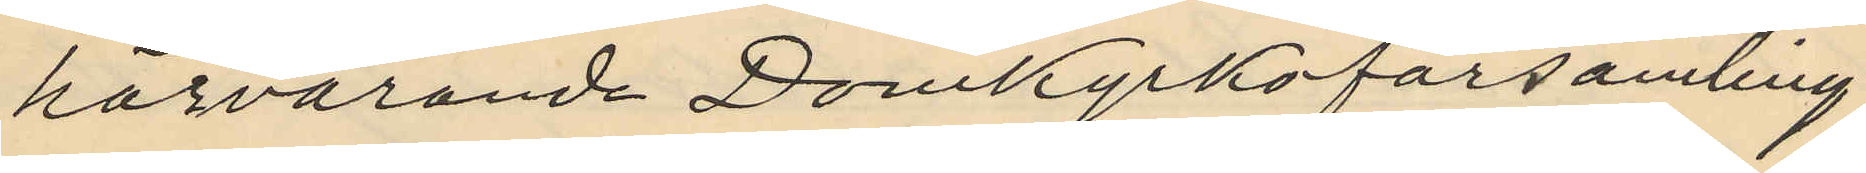härvarande Domkyrkoförsamling.
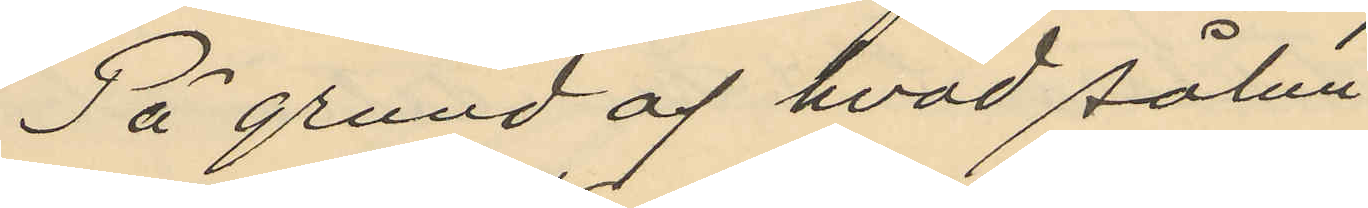På grund af hvad sålun¬
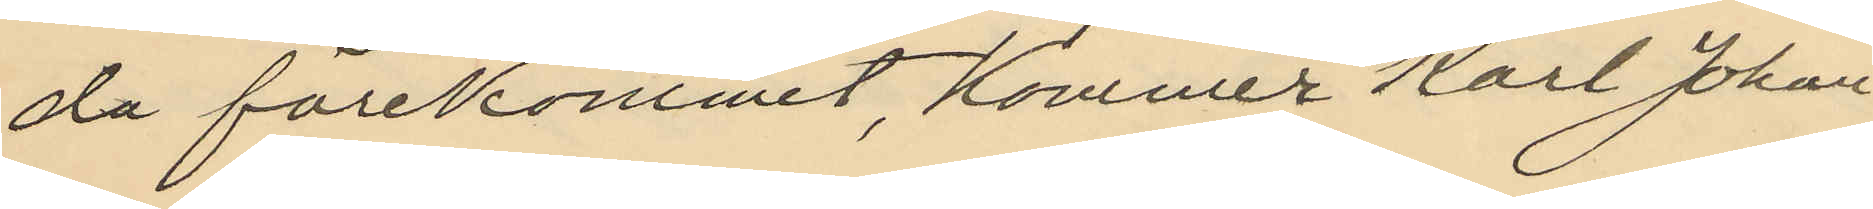da förekommit, kommer Karl Johan
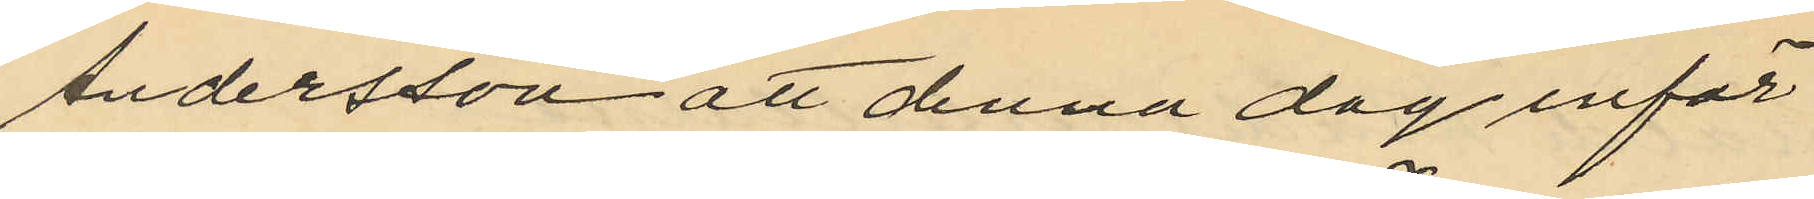Andersson att denna dag inför
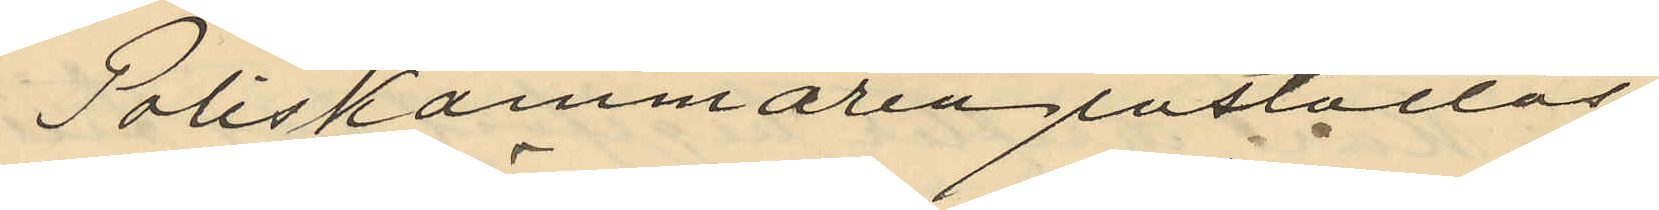Poliskammaren inställas.
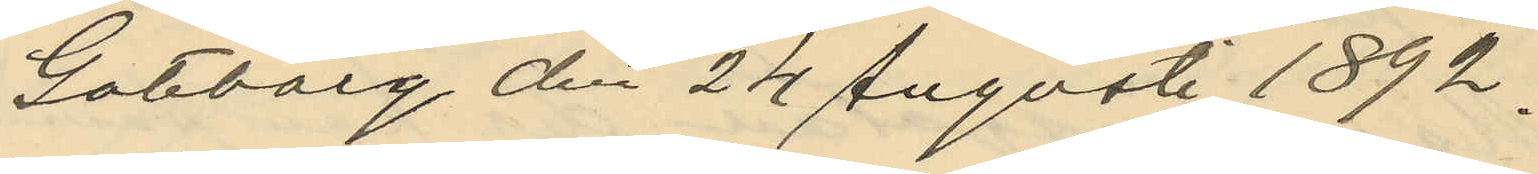Göteborg den 24 Augusti 1892.
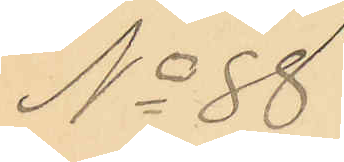No 88.
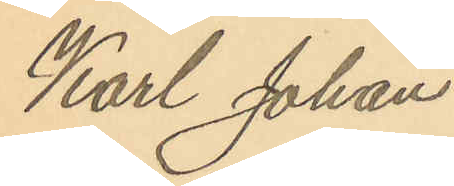Karl Johan
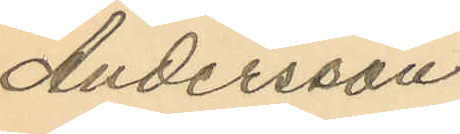Andersson
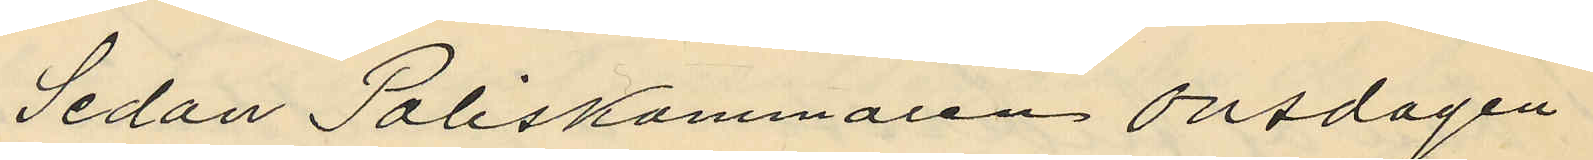Sedan Poliskammaren Onsdagen
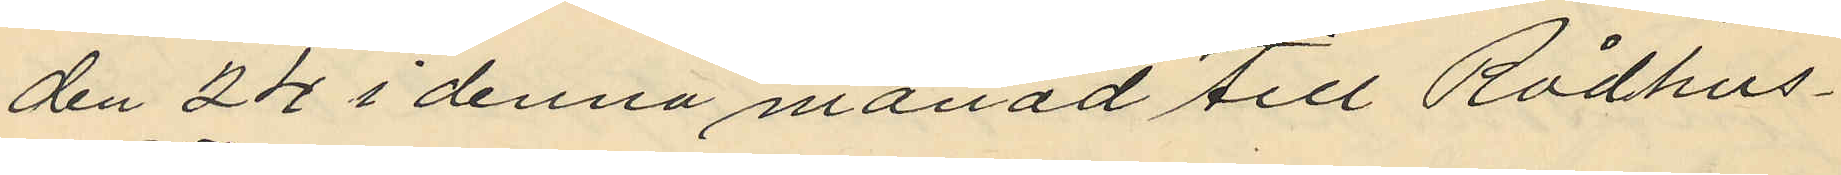den 24 i denna månad till Rådhus¬
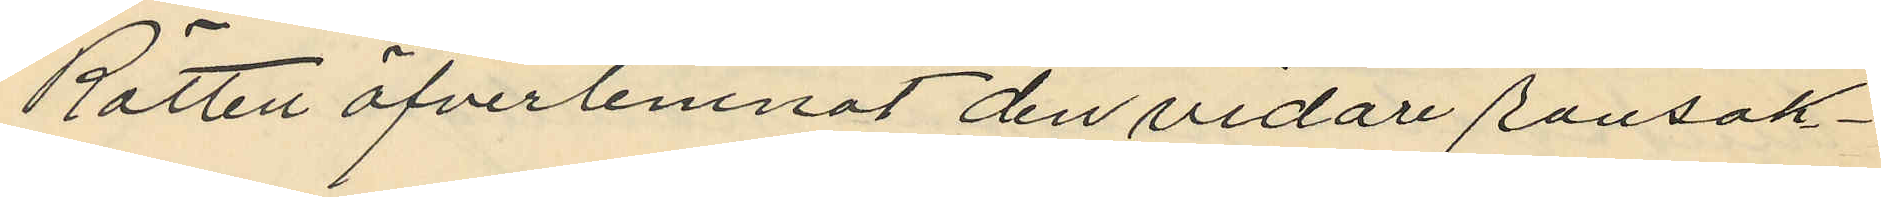Rätten öfverlemnat den vidare ransak¬
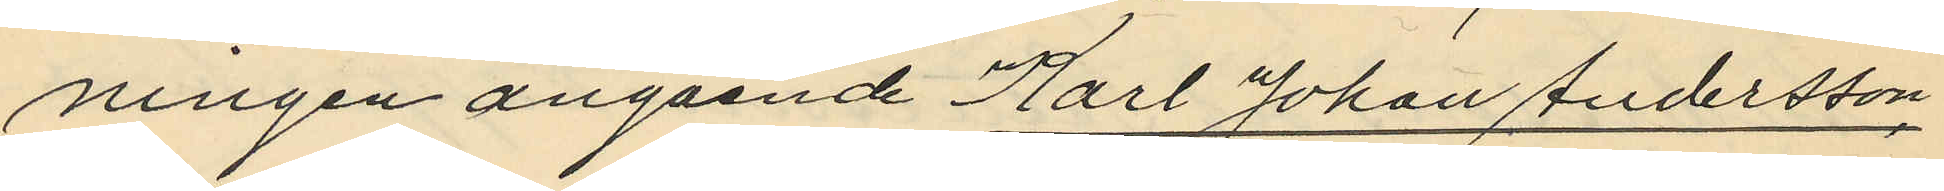ningen angående Karl Johan Andersson
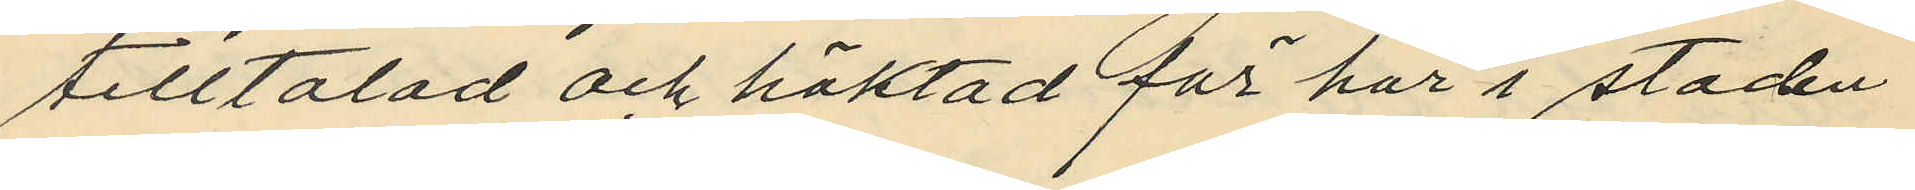tilltalad och häktad för här i staden
